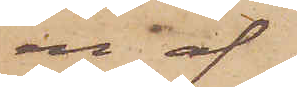en af
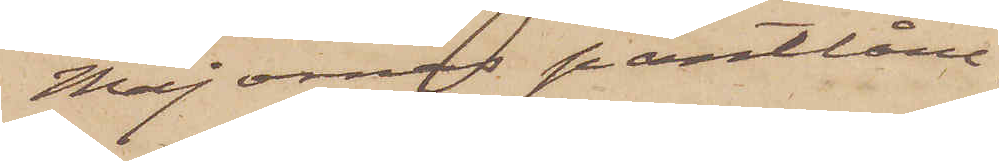Majornas pantlåne¬
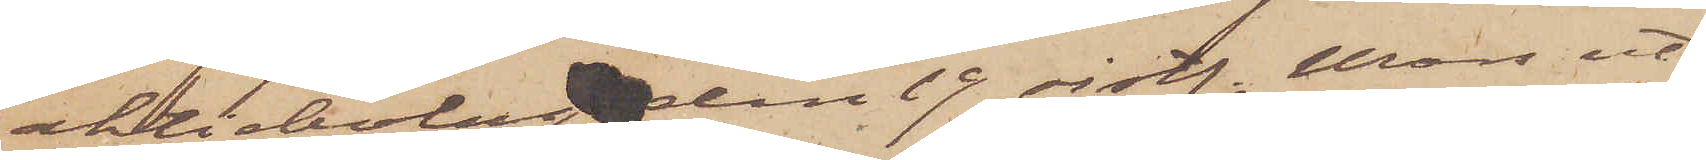aktiebolag den 19 sistl. Mars ut¬
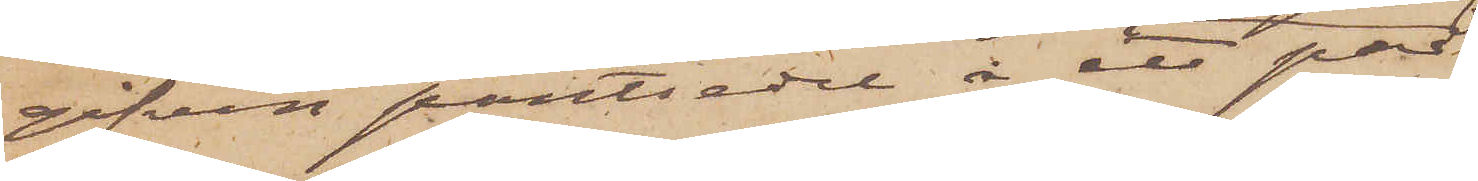gifven pantsedel å ett par
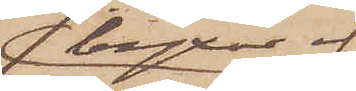byxor af
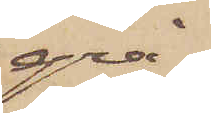grå¬
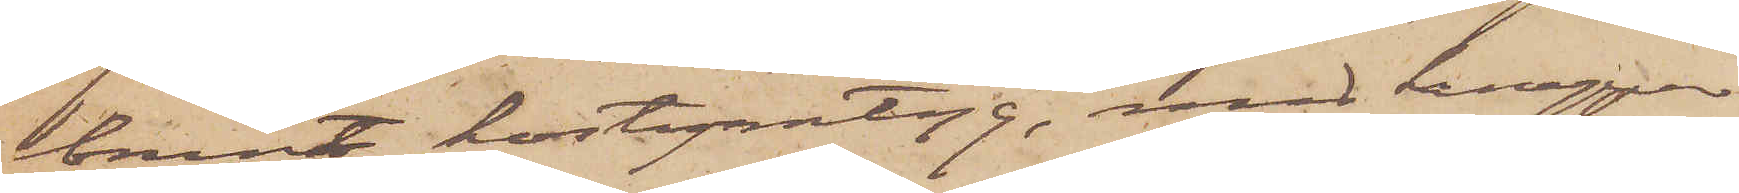brunt kostymtyg, med knappar
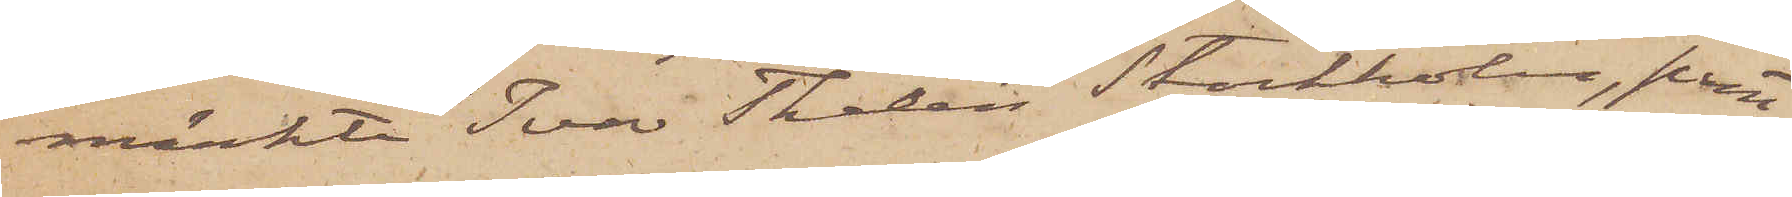märkte "Ivar Thalén" Stockholm, pant¬
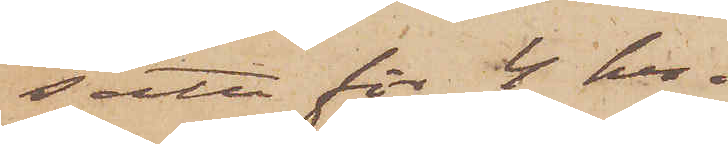satta för 4 kr.
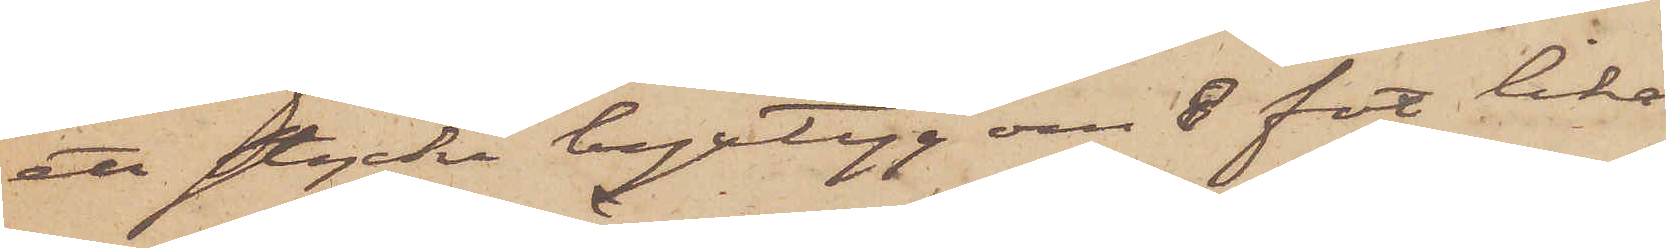ett stycke byxtyg om 8 fot lika
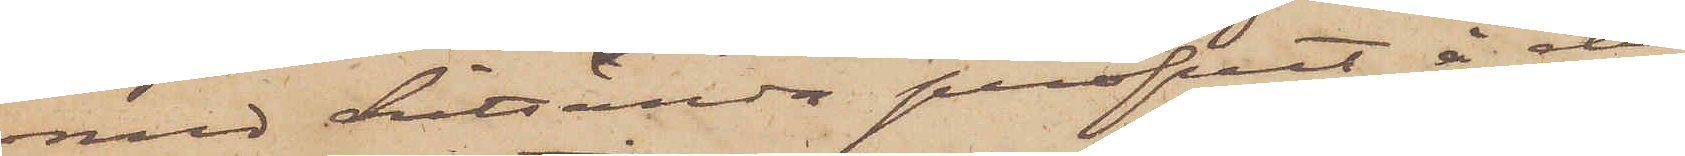med hitsända profvet å de
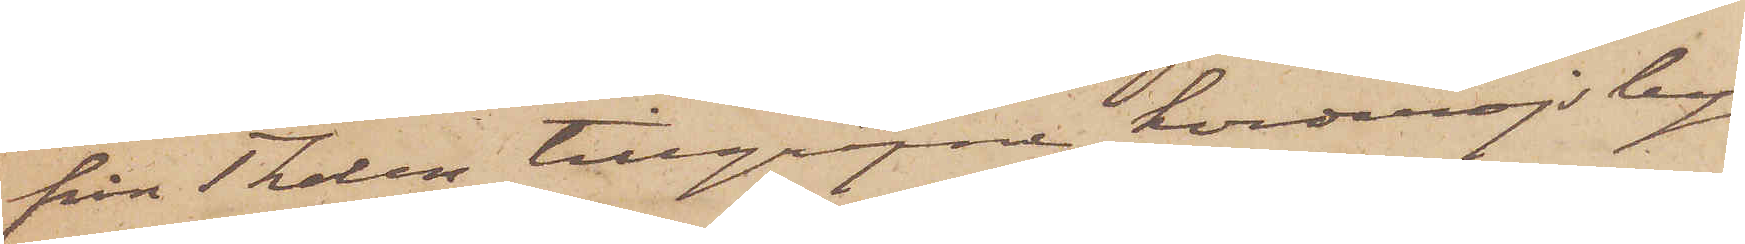från Thalen tillgripne korderojby¬
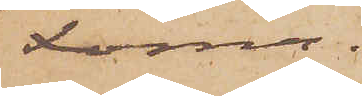xorna.
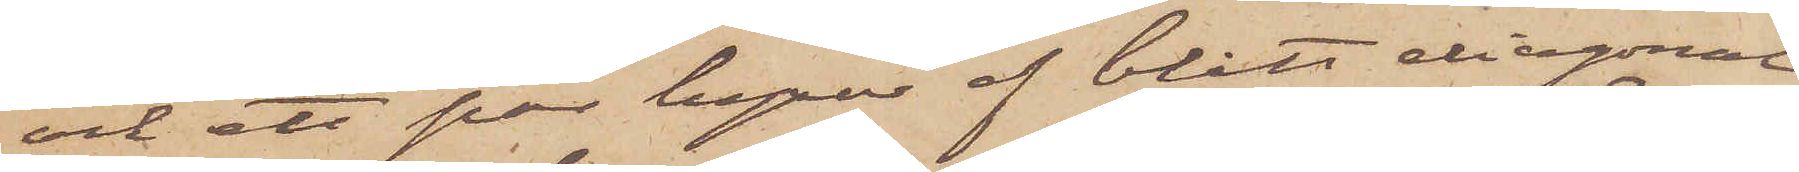och ett par byxor af blått diagonal¬
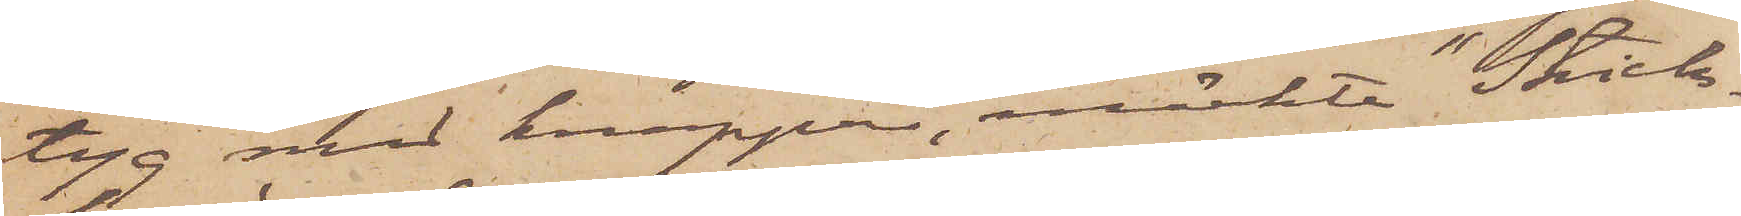tyg med knappar, märkte "Stick¬
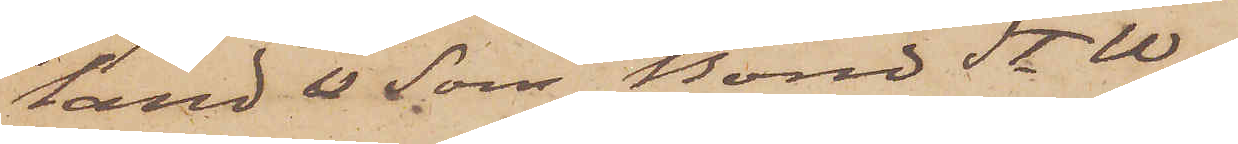land & Son Bond St. W.
